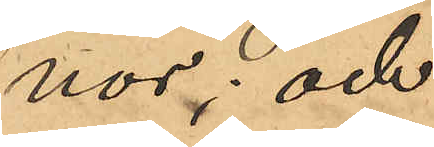nor; och
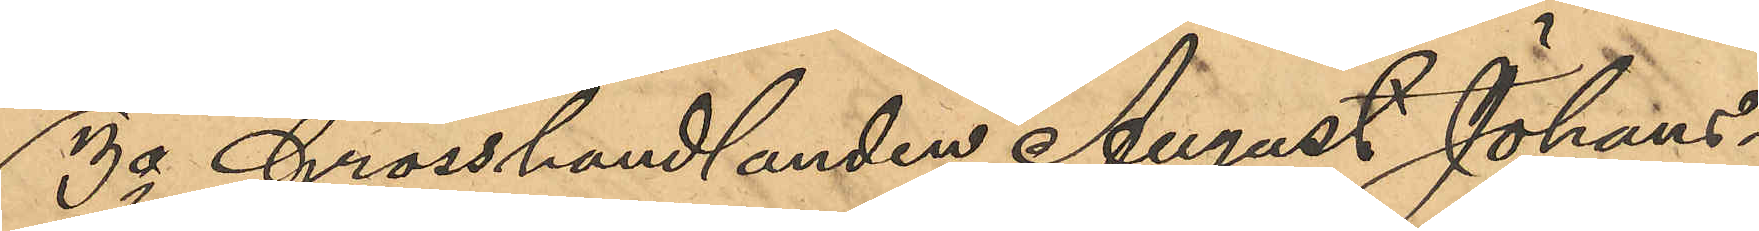3o Grosshandlanden August Johans¬
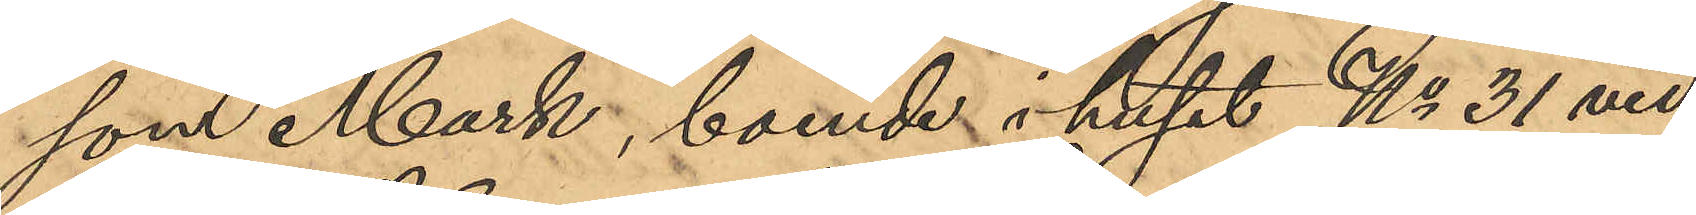som Mark, boende i huset No 31 vid
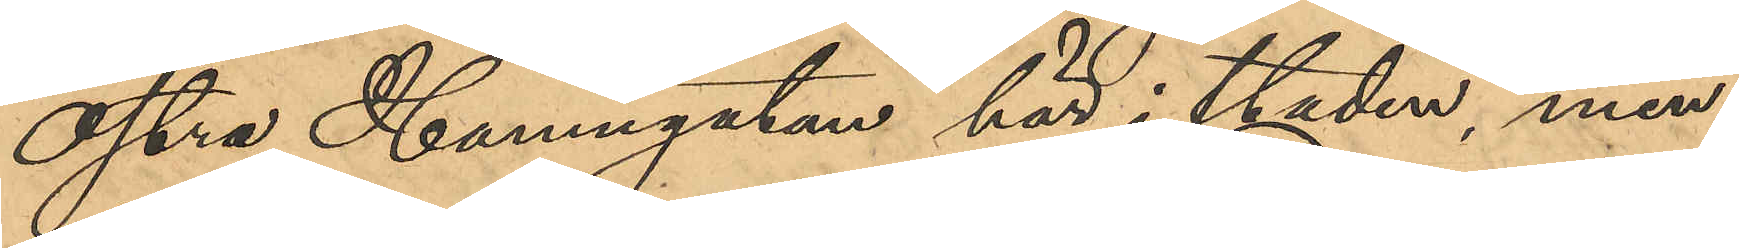Östra Hamngatan här i staden, men
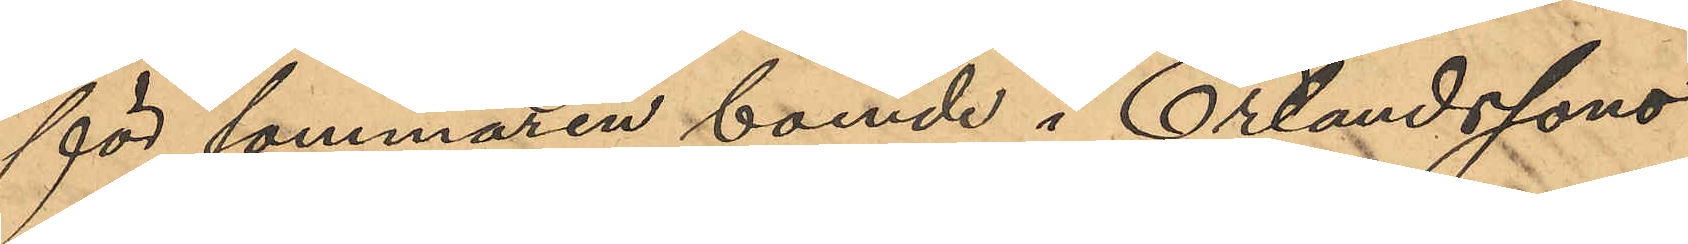för sommaren boende i Erlandssons
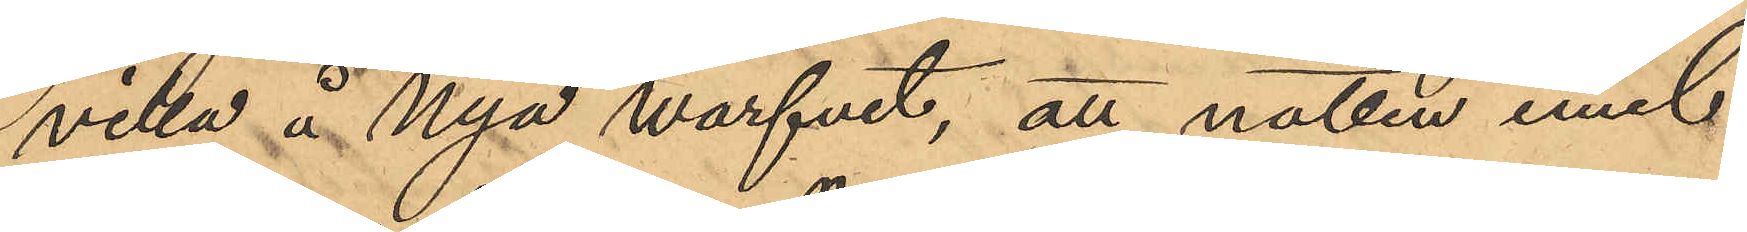villa å Nya Warfvet, att natten emel¬
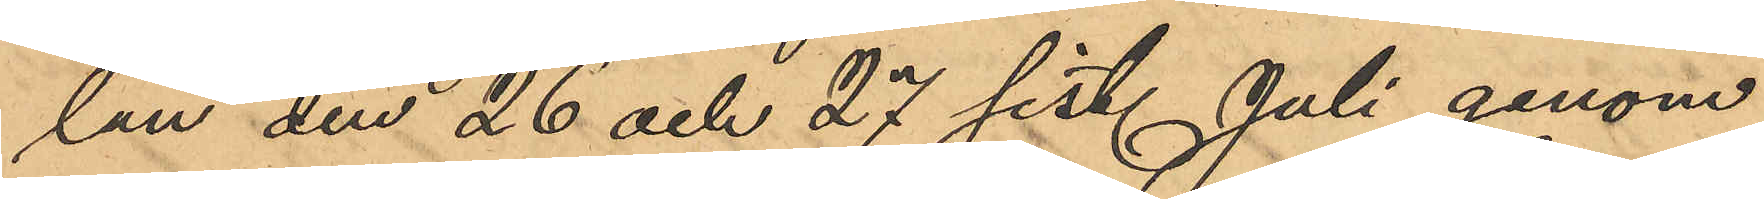lan den 26 och 27 sist. Juli genom
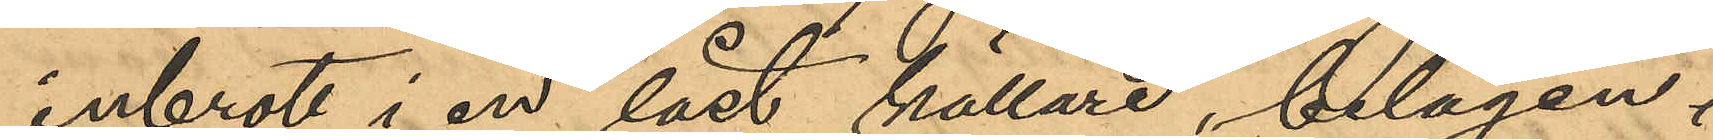inbrott i en låst källare, belägen i 
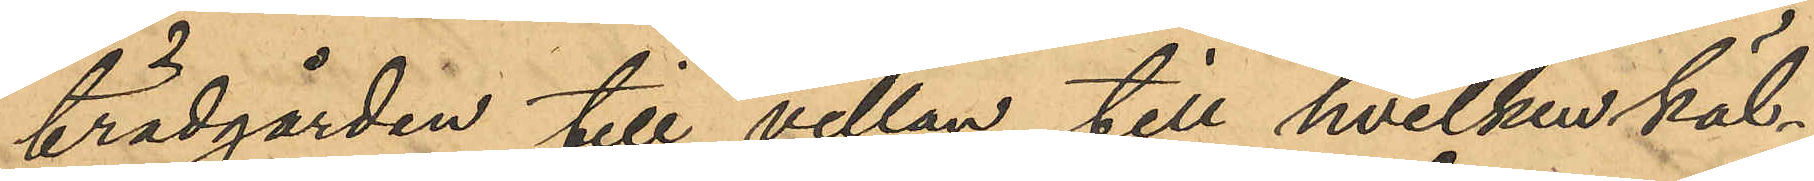trädgården till villan, till hvilkens käl¬
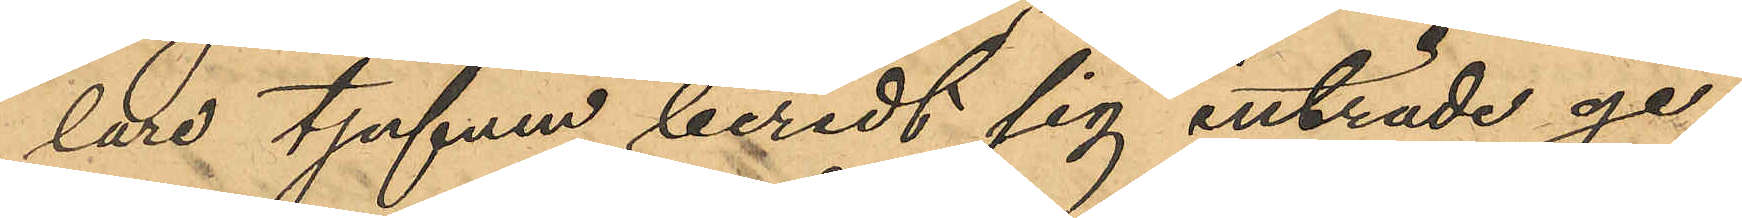lare tjufven beredt sig inträde ge¬
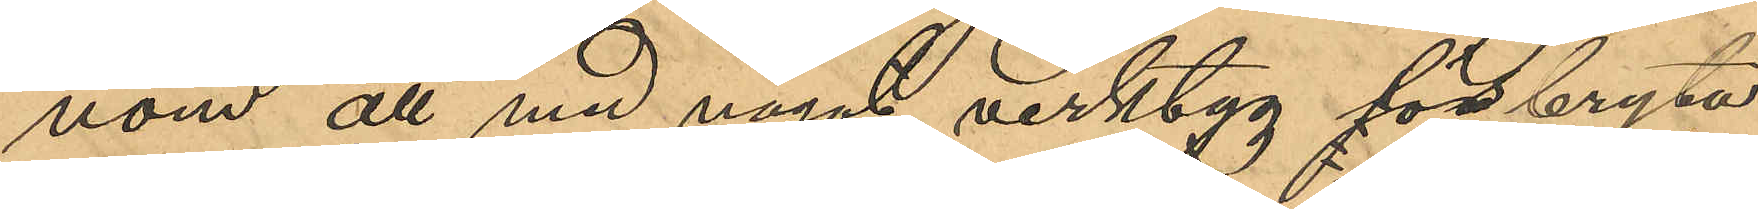nom att med något verktyg förbryta
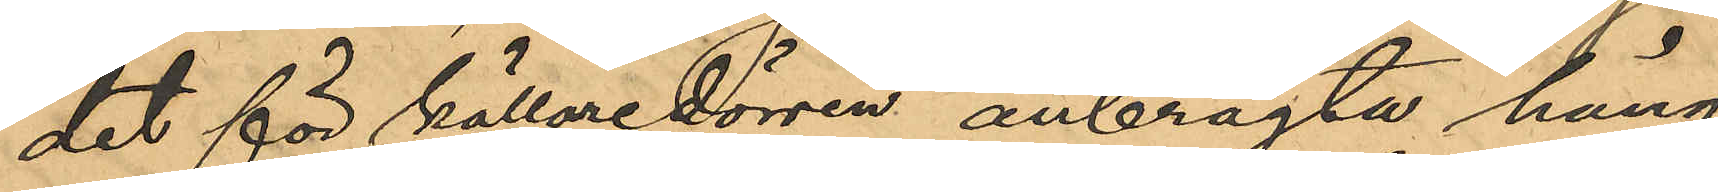det för källaredörren anbragta häng¬
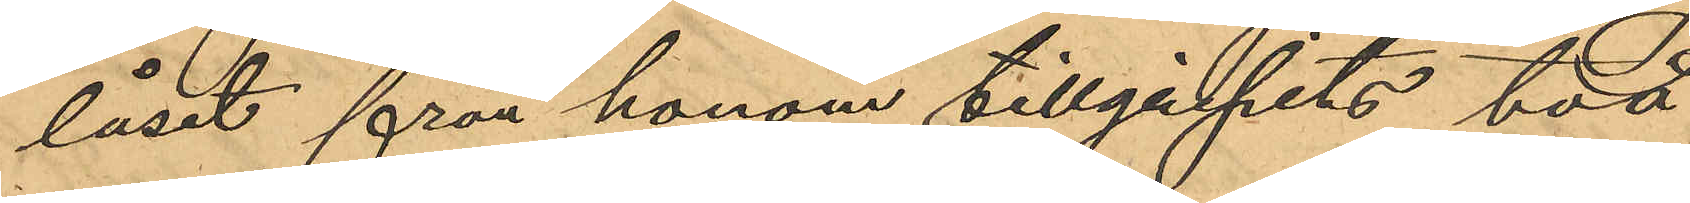låset från honom tillgripits två
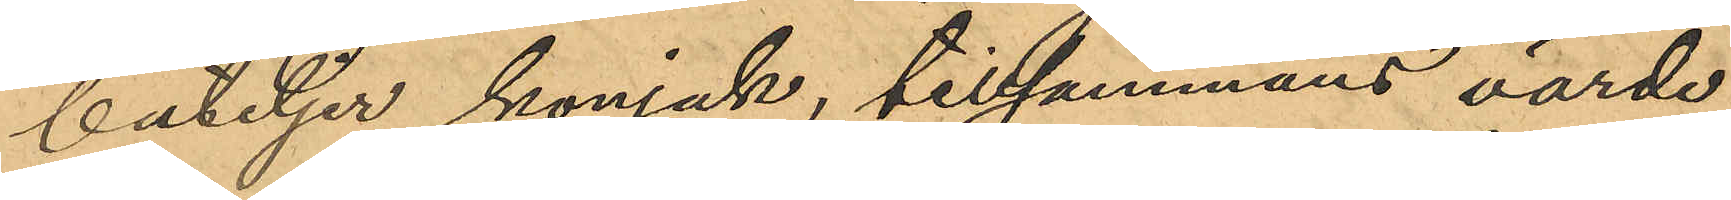buteljer konjak, tillsammans värde
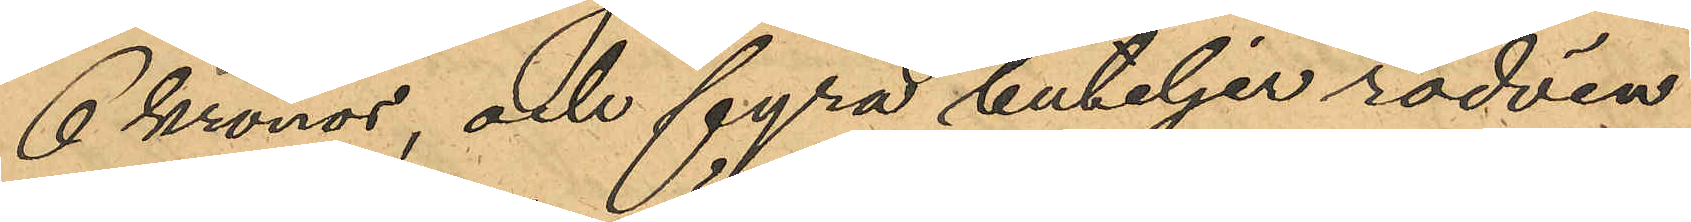6 Kronor, och fyra buteljer rödvin,
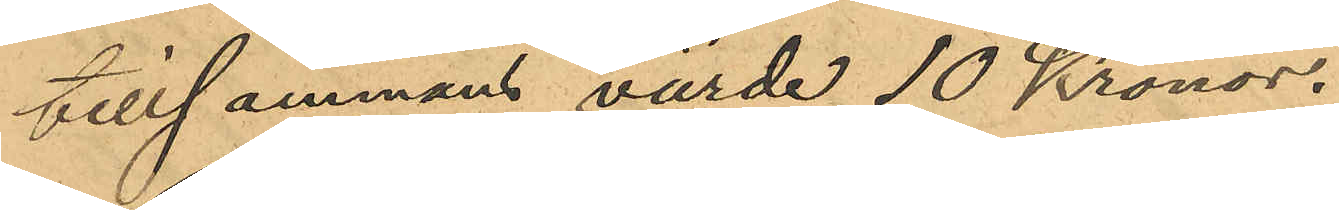tillsammans värde 10 Kronor.
